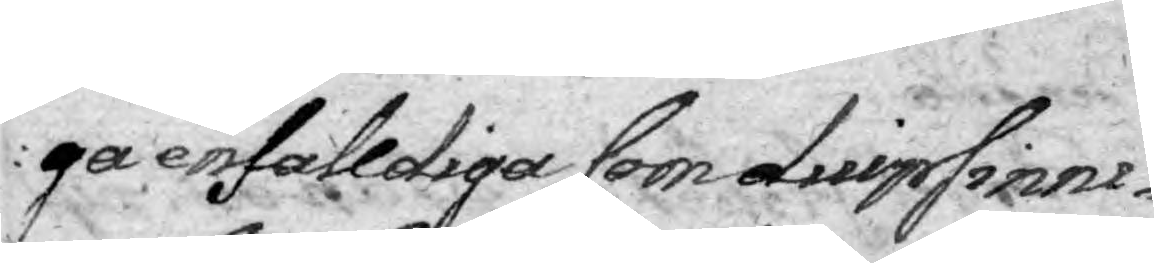ga enfalldiga som diupsinni¬
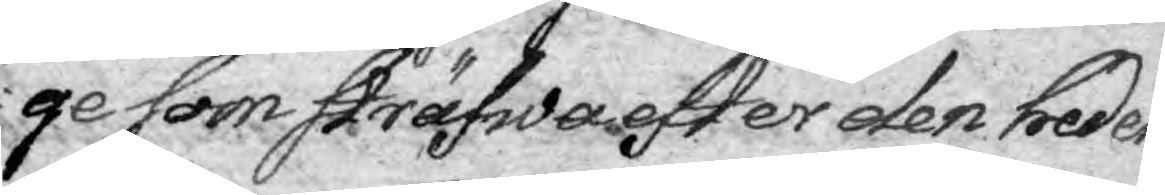ge som sträfwa efter den hedern
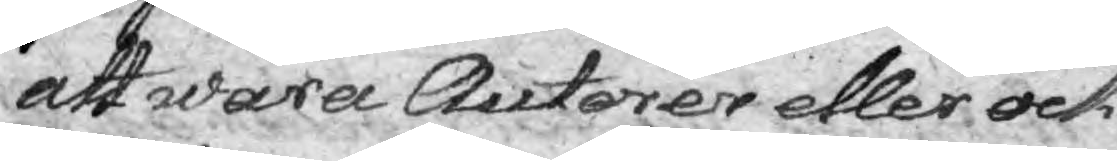att wara Autorer eller ock
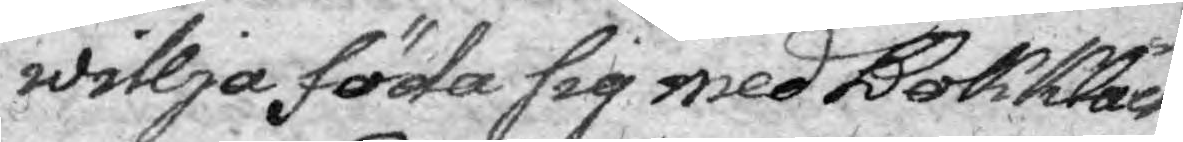willja föda sig med Bokkläck¬
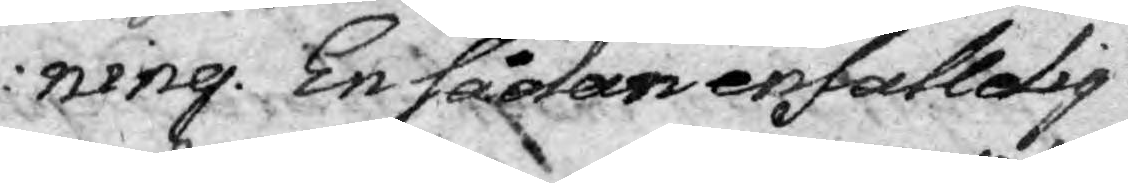ning. En sådan enfalldig
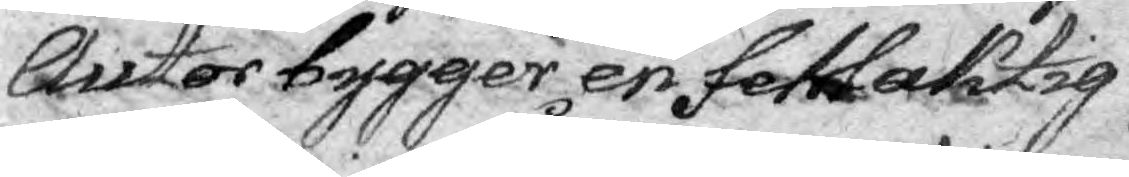Autor bygger en fehlaktig
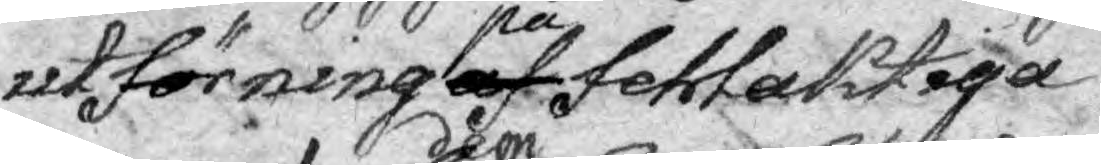utförning af på fehlaktiga
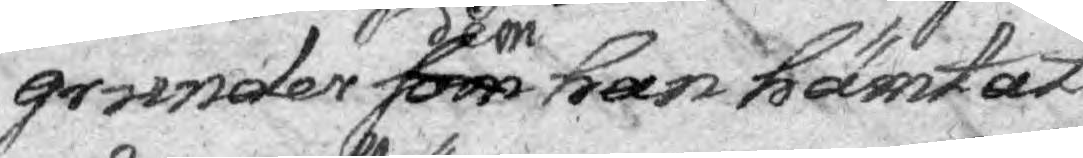grunder som dem han hämtat
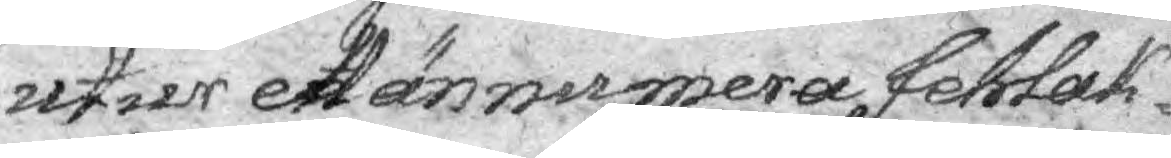utur ett ännumera fehlak¬
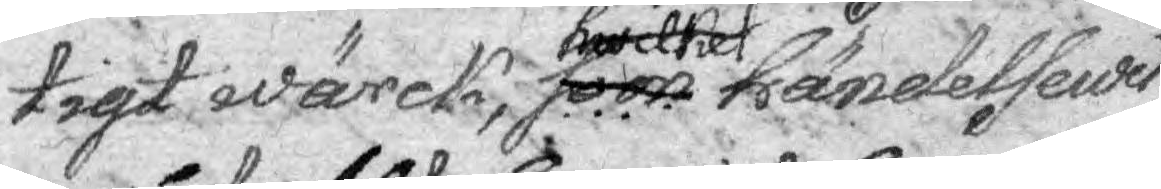tigt wärck, som händelsewis
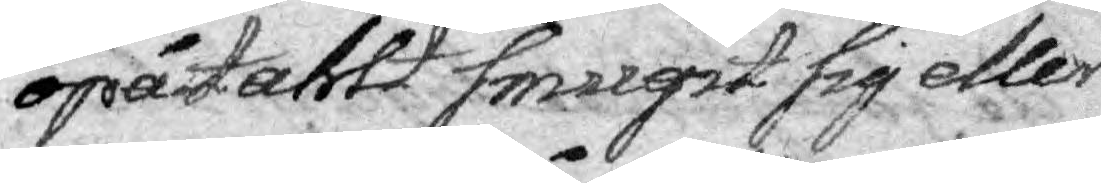opåtahlt smugit sig eller
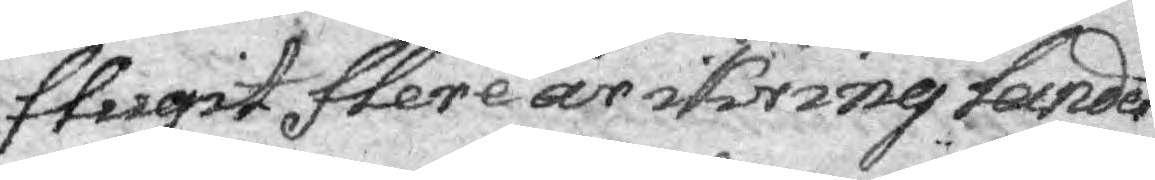flugit flere år ikring landet.
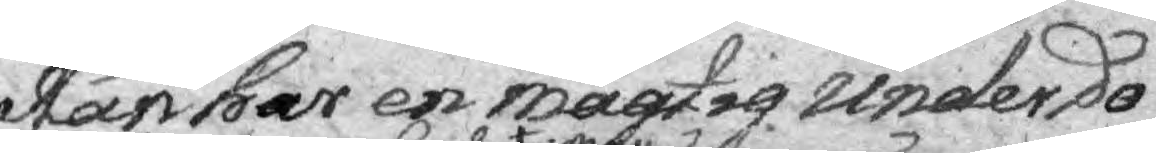Han har en mägtig underdo¬
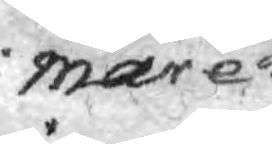mare
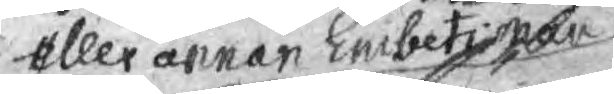eller annan Embets man
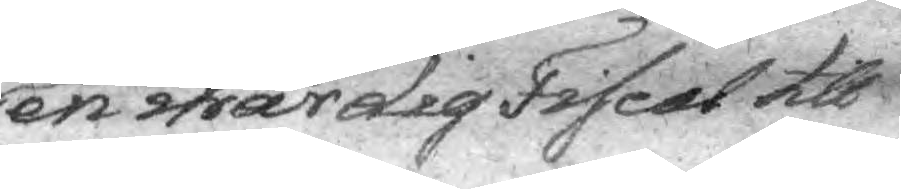en wärdig Fiscal till
